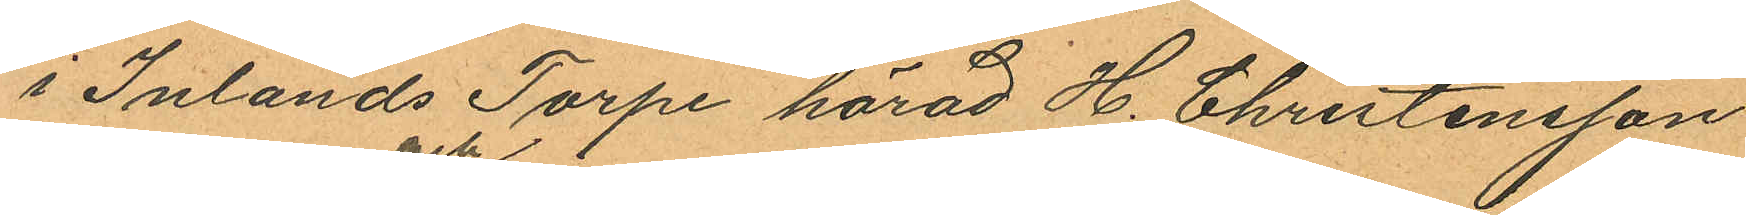i Inlands Torpe härad H. Christensson
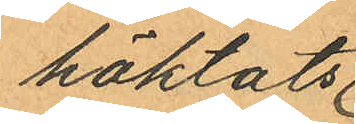häktats
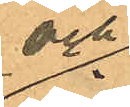och
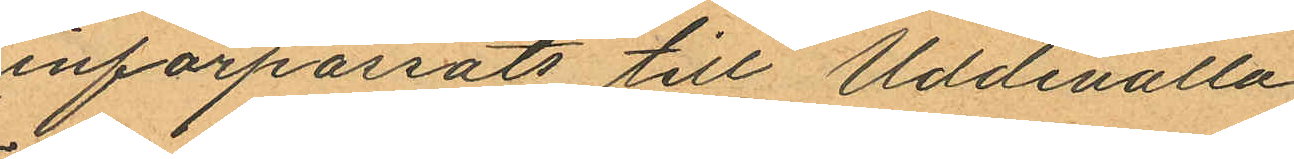införpassats till Uddevalla
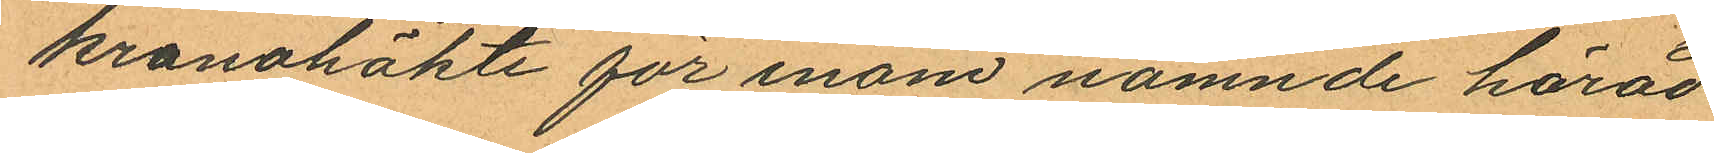kronohäkte för inom nämnde härad
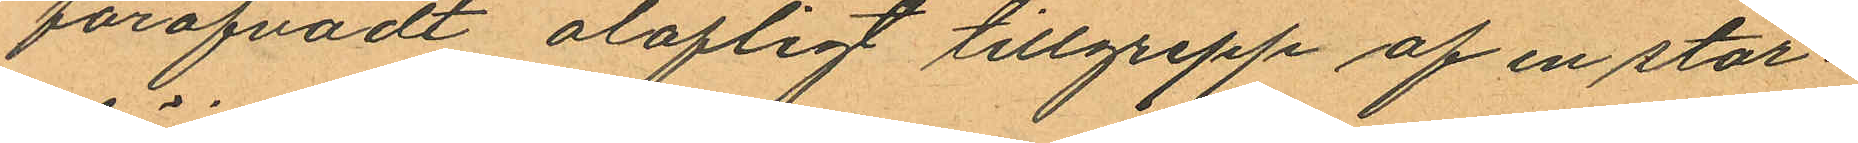föröfvadt olofligt tillgrepp af en stor¬
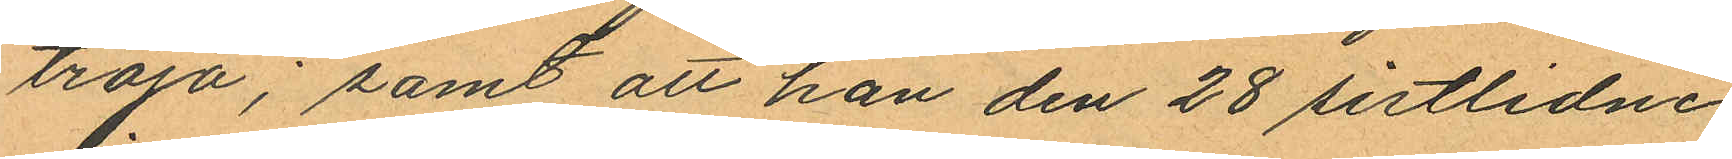tröja; samt att han den 28 sistlidne
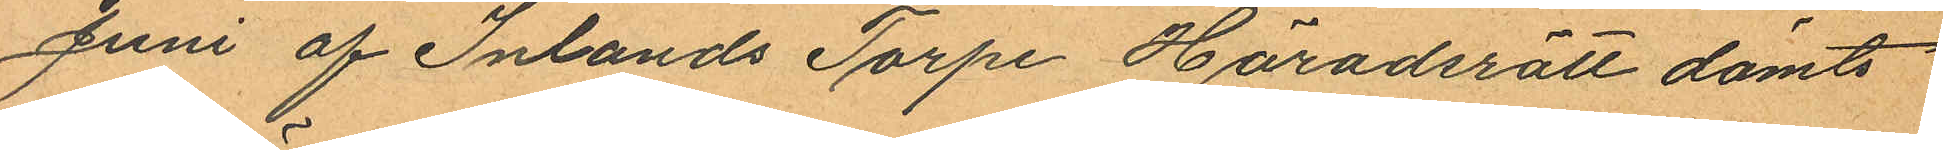Juni af Inlands Torpe Häradsrätt dömts
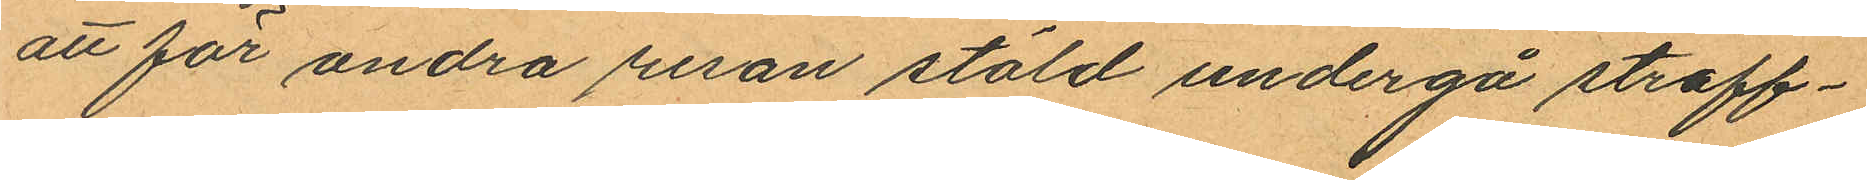att för andra resan stöld undergå straff¬
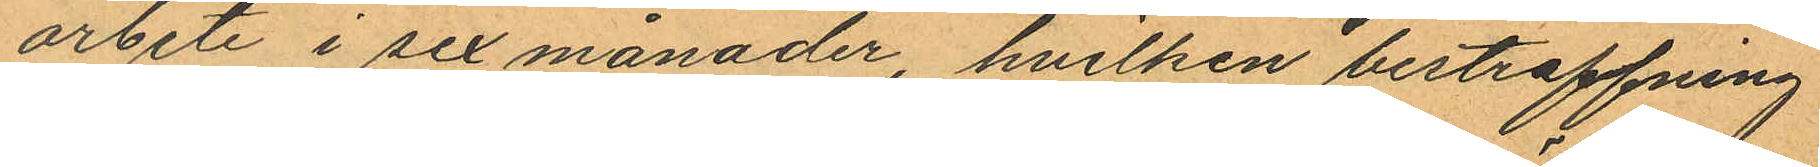arbete i sex månader, hvilken bestraffning
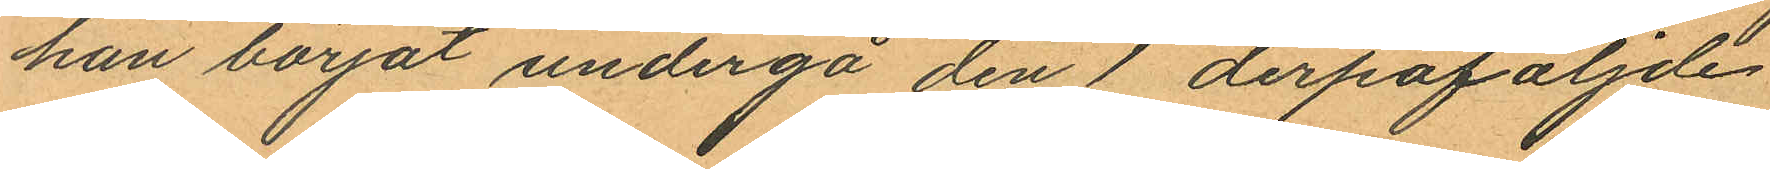han börjat undergå den 1 derpaföljde
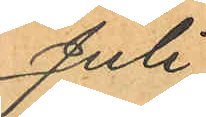Juli
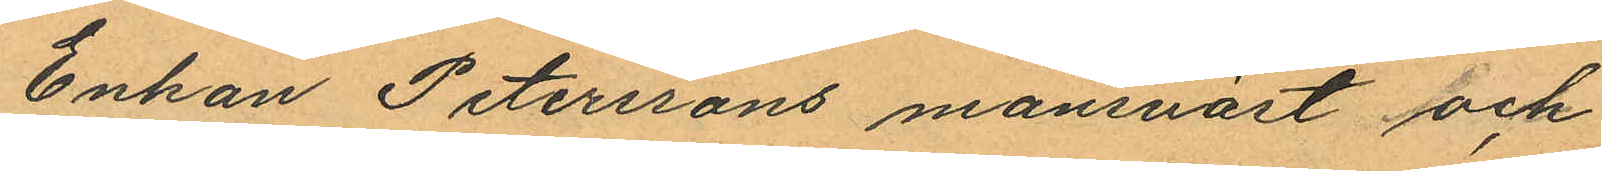Enkan Peterssons mansväst och
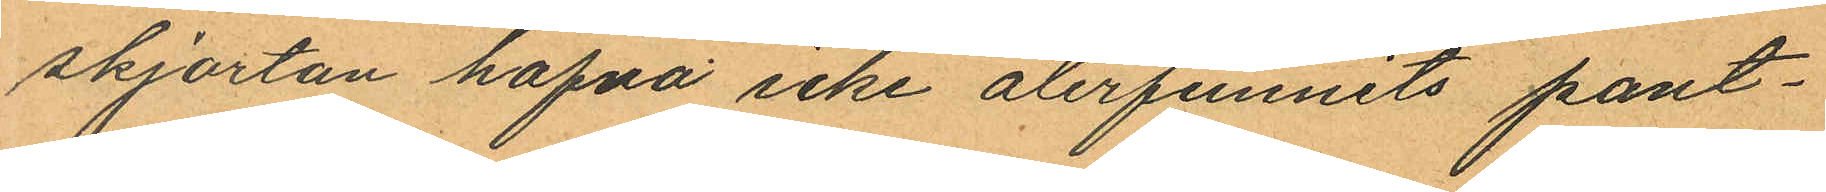skjortan hafva icke återfunnits pant¬
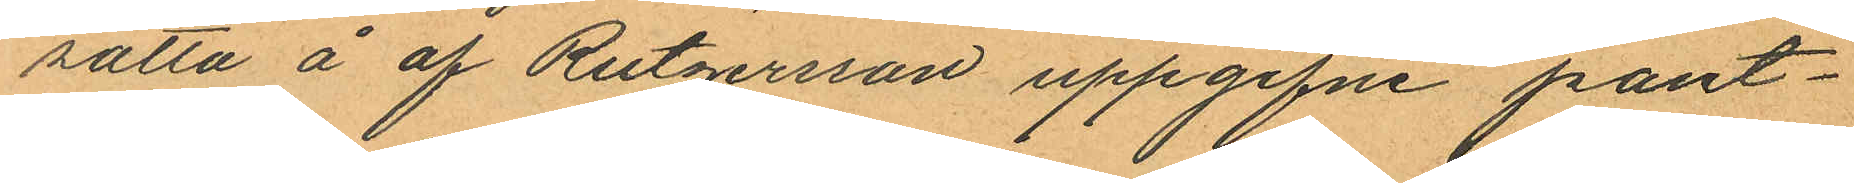satta å af Rutgersson uppgifne pant¬
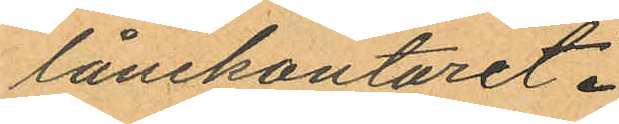lånekontoret.
